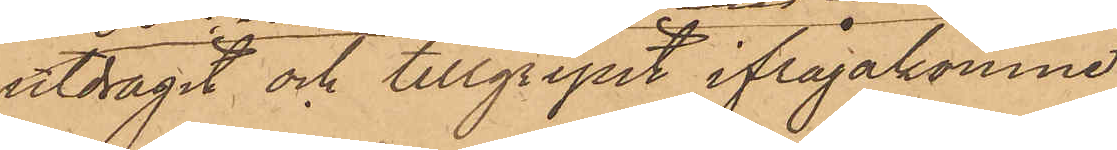utdragit och tillgripit ifrågakomne
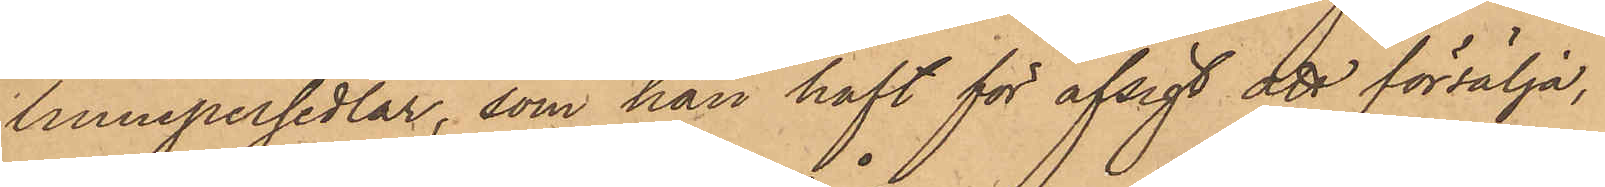linnepersedlar, som han haft för afsigt att försälja,
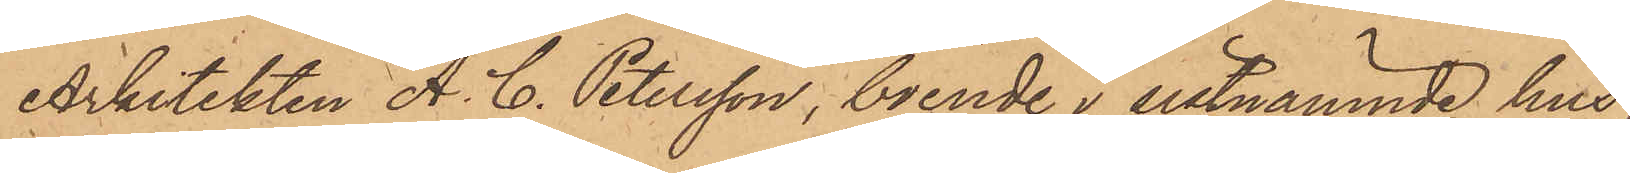Arkitekten A. C. Petersson, boende i sistnämnde hus,
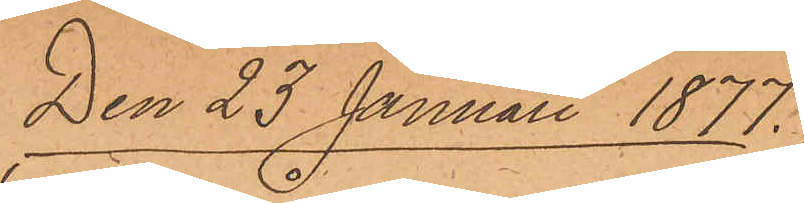Den 23 Januari 1877.
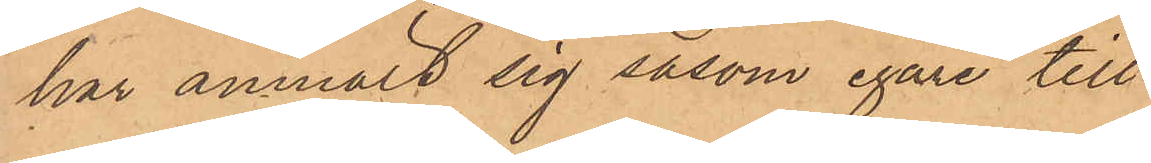har anmält sig såsom egare till
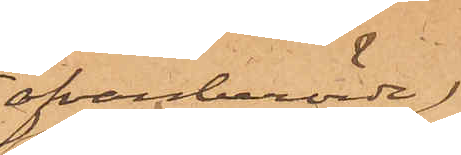ofvanberörde
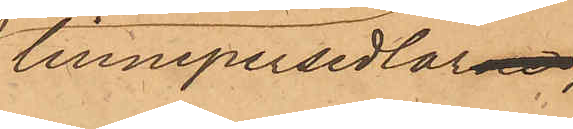linnepersedlarne,
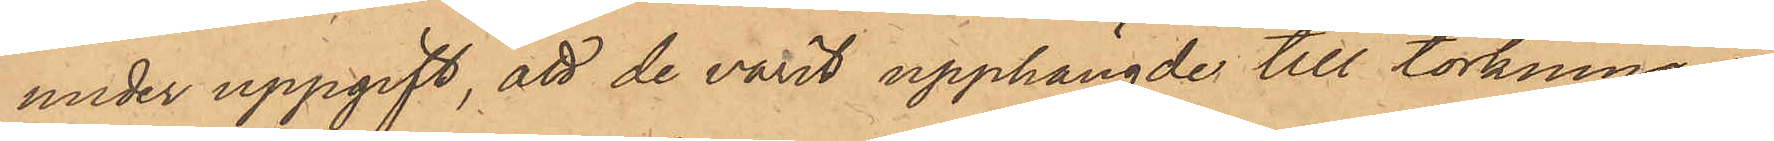under uppgift, att de varit upphängde till torkning å
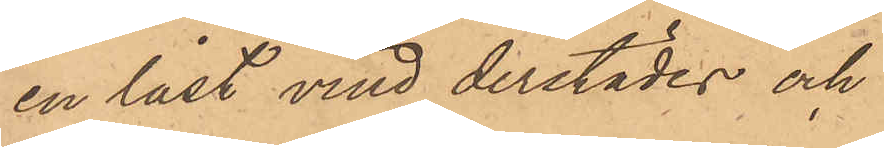en låst vind derstädes och
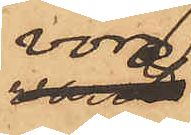voro
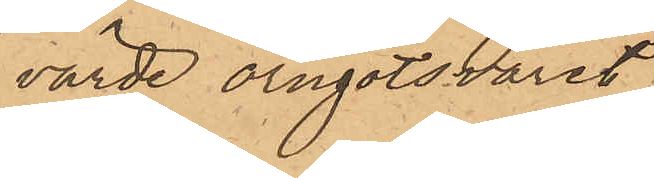värde örngotsvaret
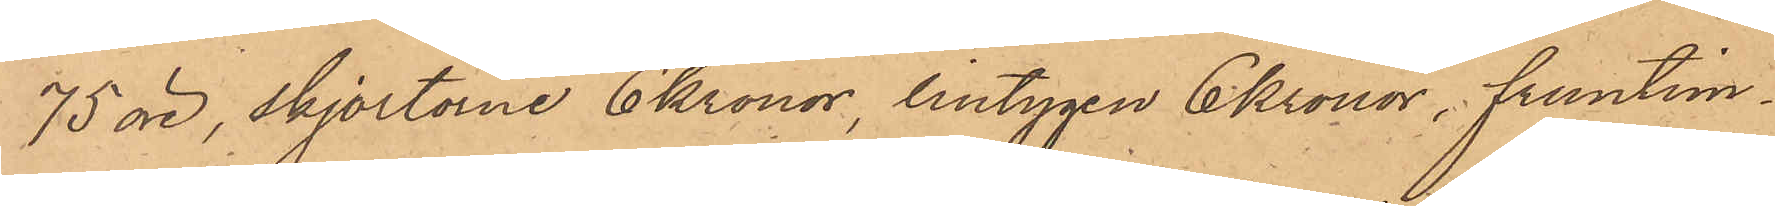75 öre, skjortorne 6 kronor, lintygen 6 Kronor, fruntim¬
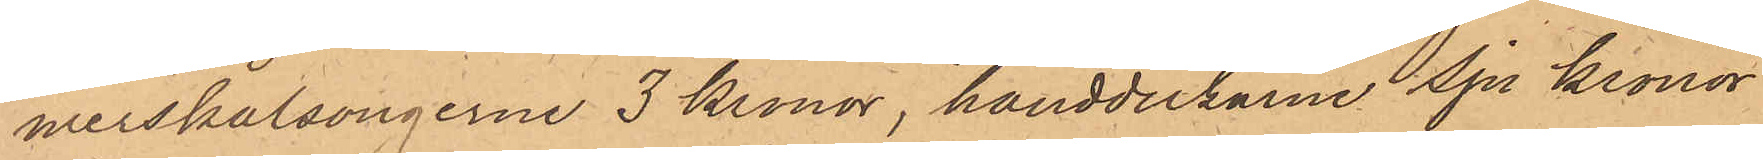merskalsongerne 3 Kronor, handdukarne Sju Kronor
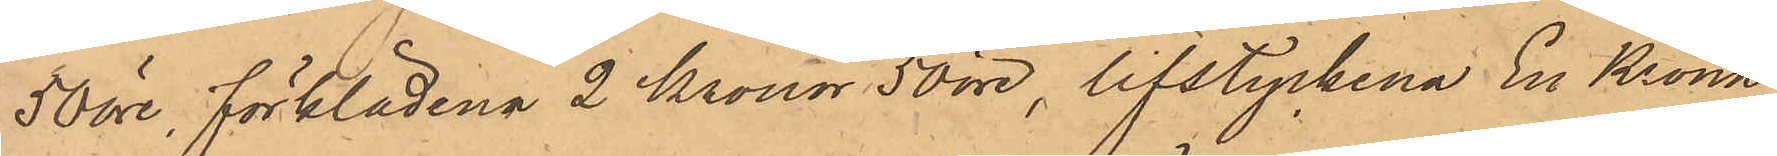50 öre, förklädena 2 Kronor 50 öre, lifstyckena En Krona
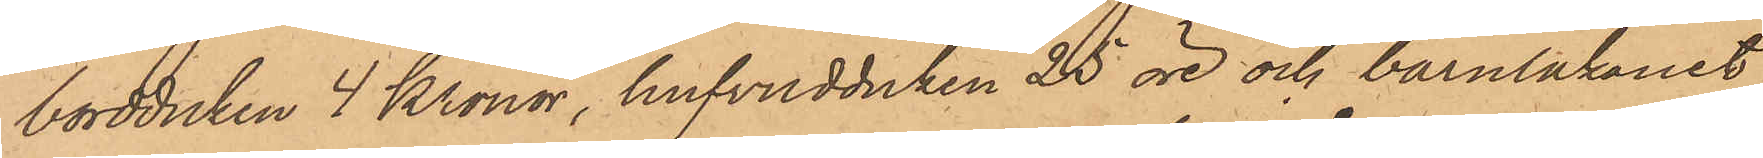bordduken 4 Kronor, hufvudduken 25 öre och barnlakanet
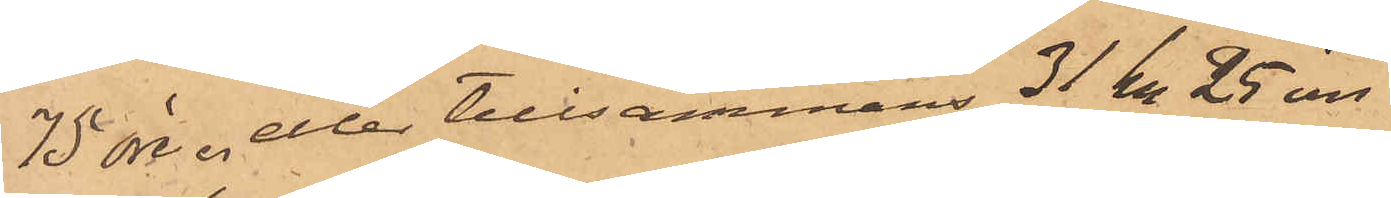75 öre, eller tillsammans 3 kr 25 öre
